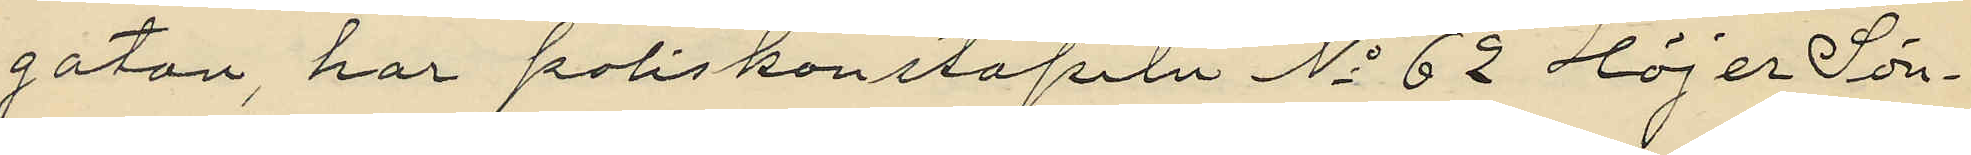gatan, har poliskonstapeln No 62 Höjer Sön¬
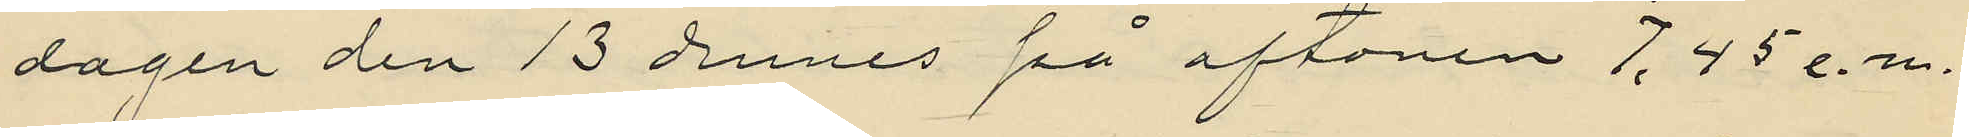dagen den 13 dennes på aftonen 7.45 e.m.
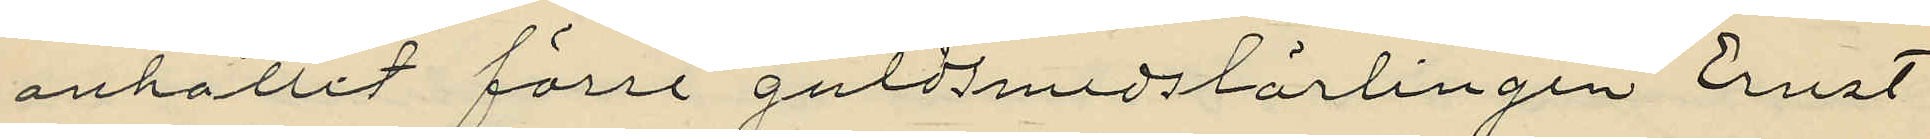anhållit förre guldsmedslärlingen Ernst
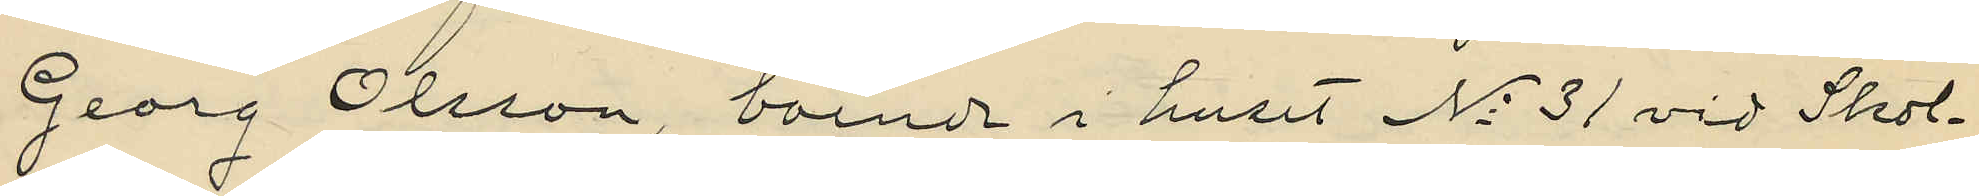Georg Olsson, boende i huset No 31 vid Skol¬
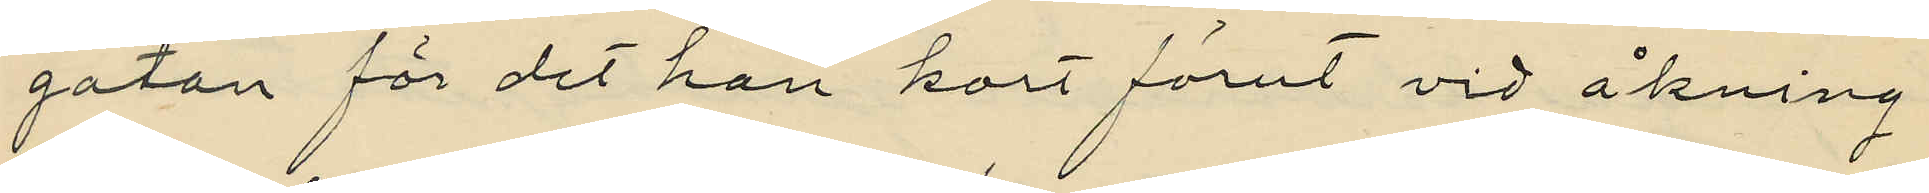gatan för det han kort förut vid åkning
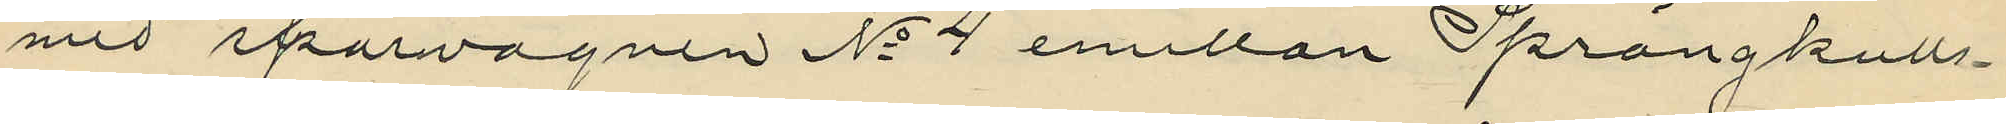med spärvagnen No 4 emellan Sprängkulls¬
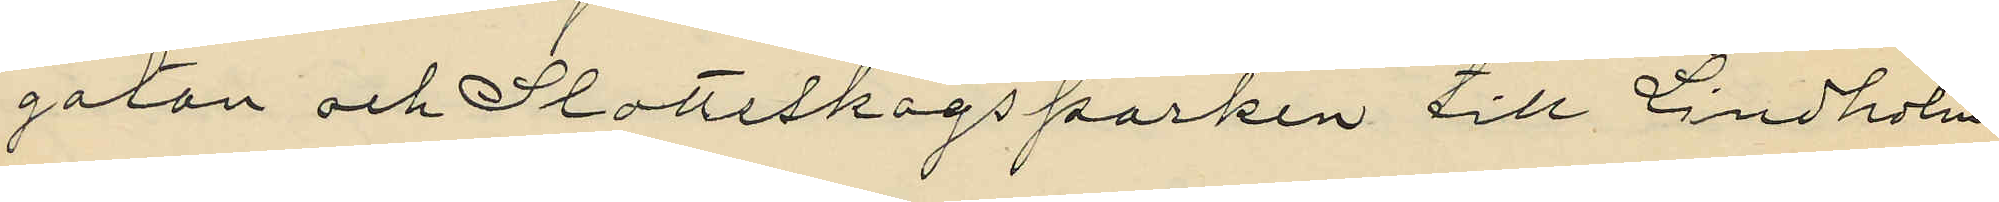gatan och Slottsskogsparken till Lindholm
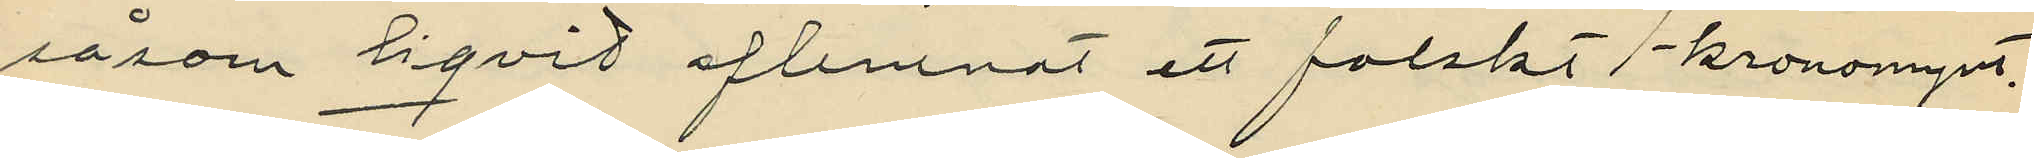såsom liqvid aflemnat ett falskt 1-kronomynt.
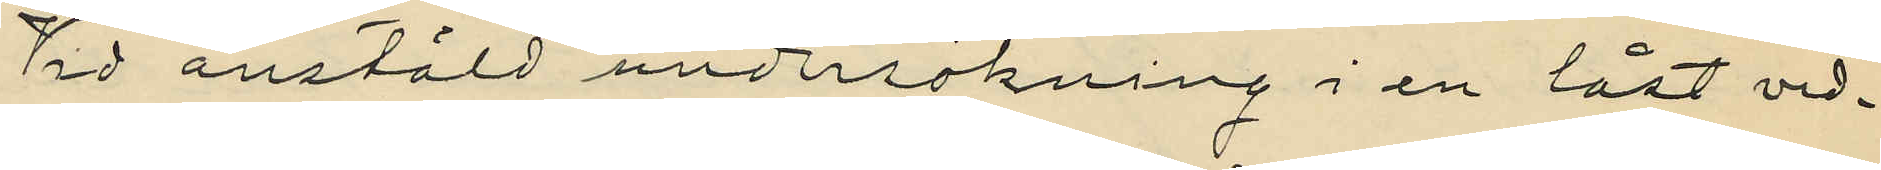Vid anstäld undersökning i en låst ved¬
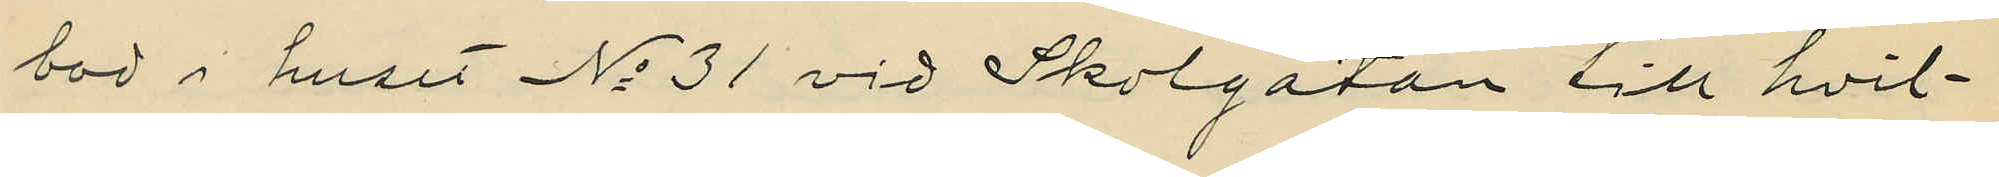bod i huset No 31 vid Skolgatan till hvil¬
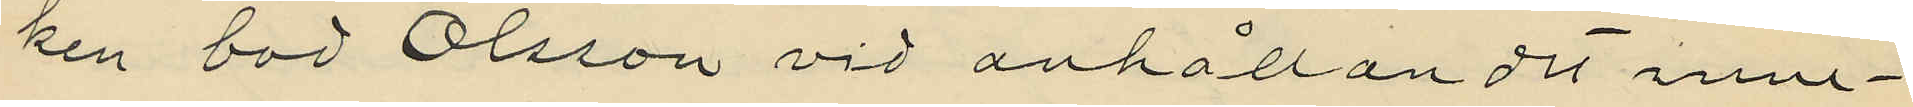ken bod Olsson vid anhållandet inne¬
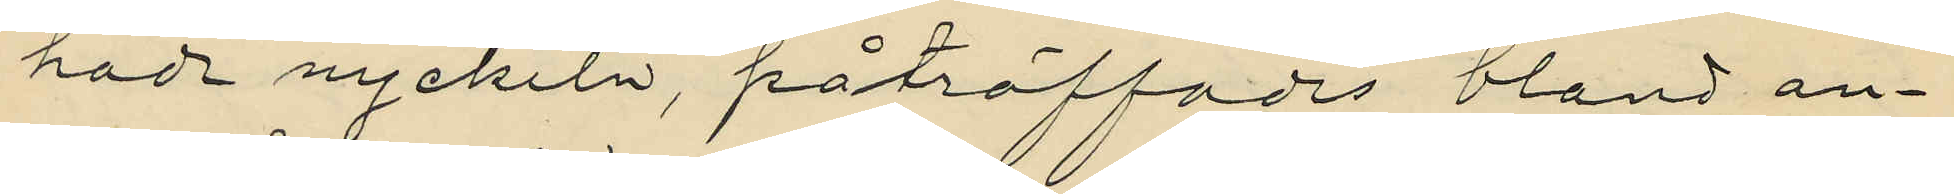hade nyckeln, påträffades bland an¬
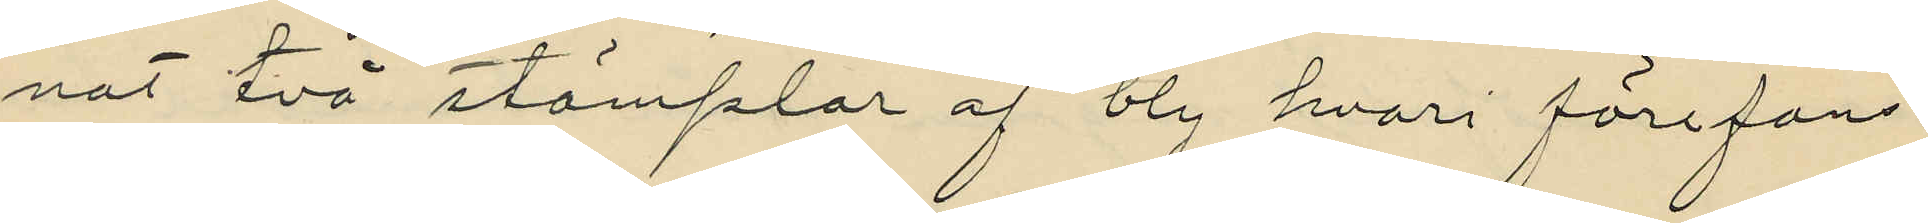nat två stämplar af bly hvari förefanns
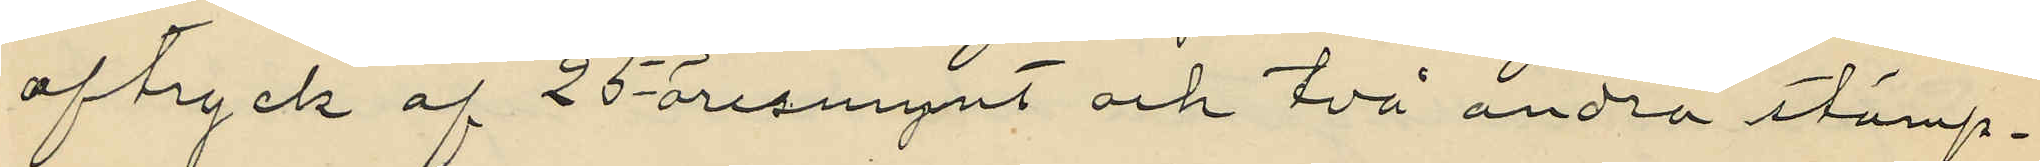aftryck af 25-öresmynt och två andra stämp¬
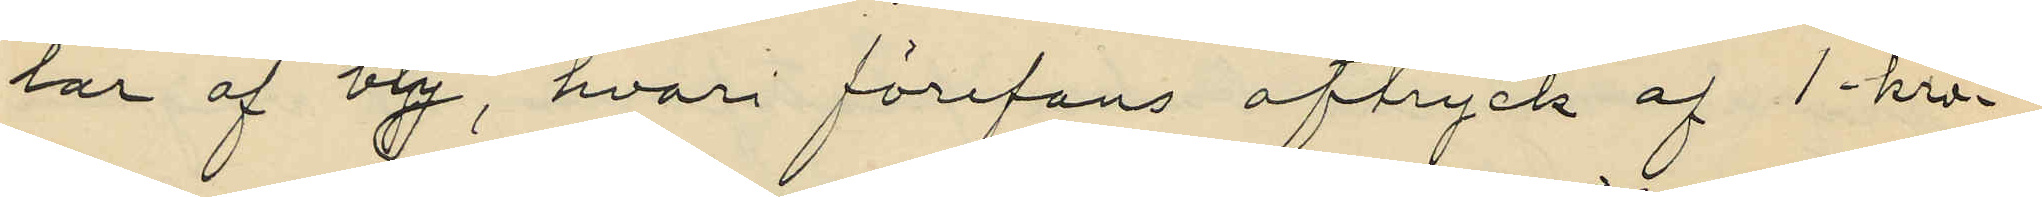lar af bly, hvari förefans aftryck af 1-kr¬
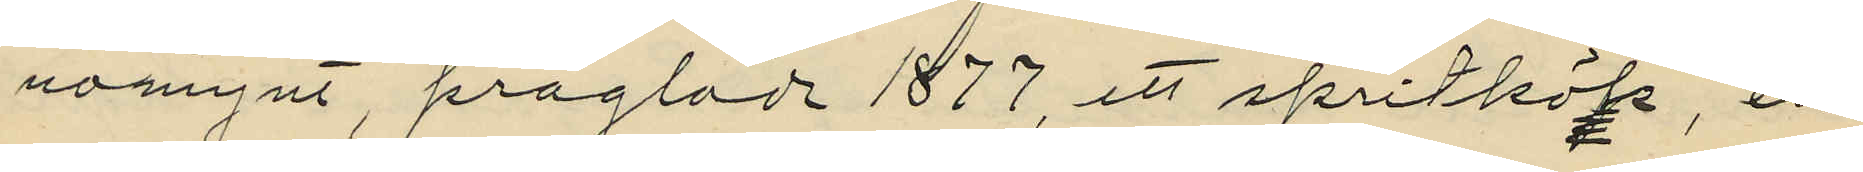nomynt, präglade 1877, ett spritkök, en
